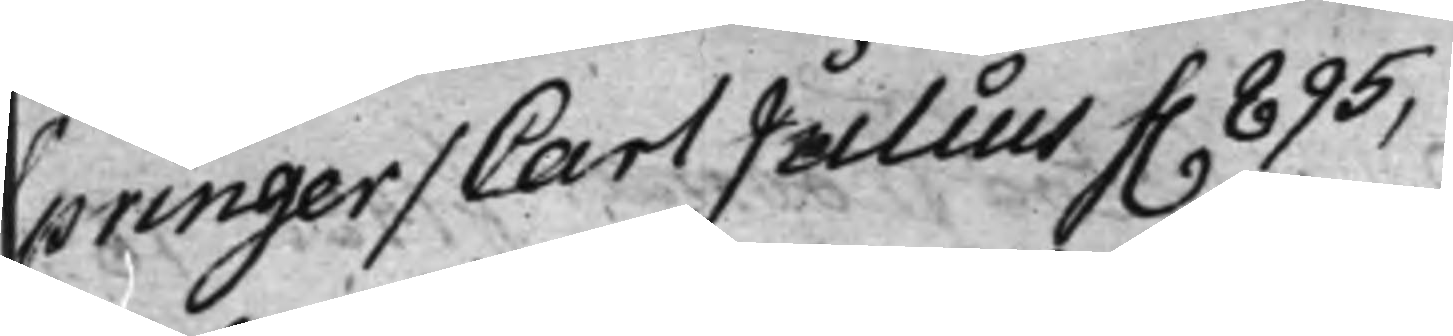Springer / Carl Julius f. 895,
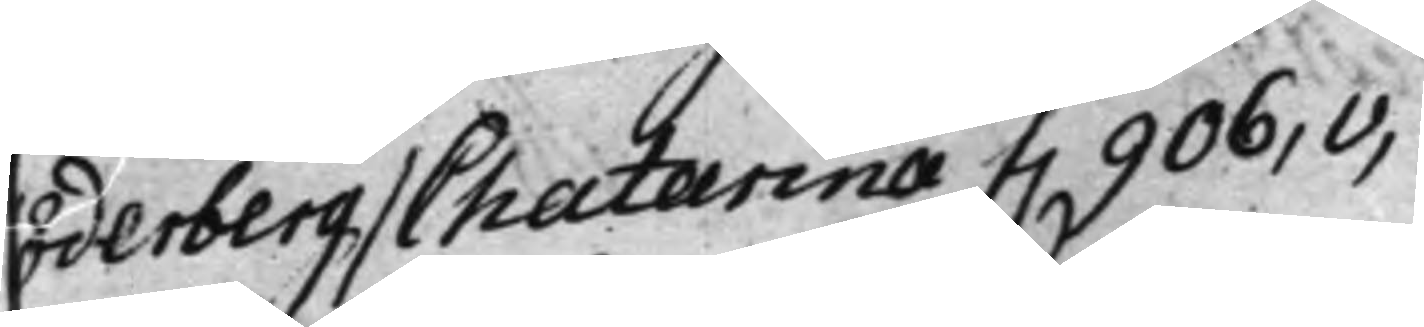Söderberg / Chatarina f. 906.v,
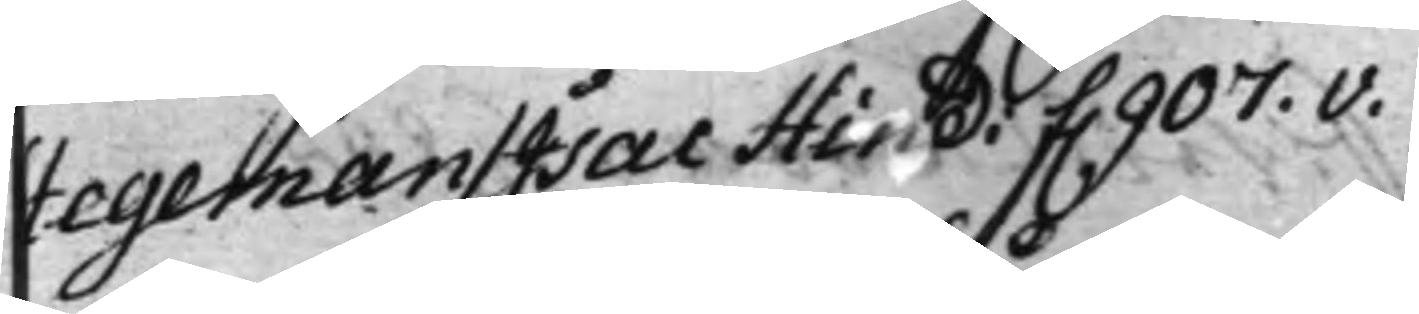Stegeman / Isac Hind: f. 907.v.
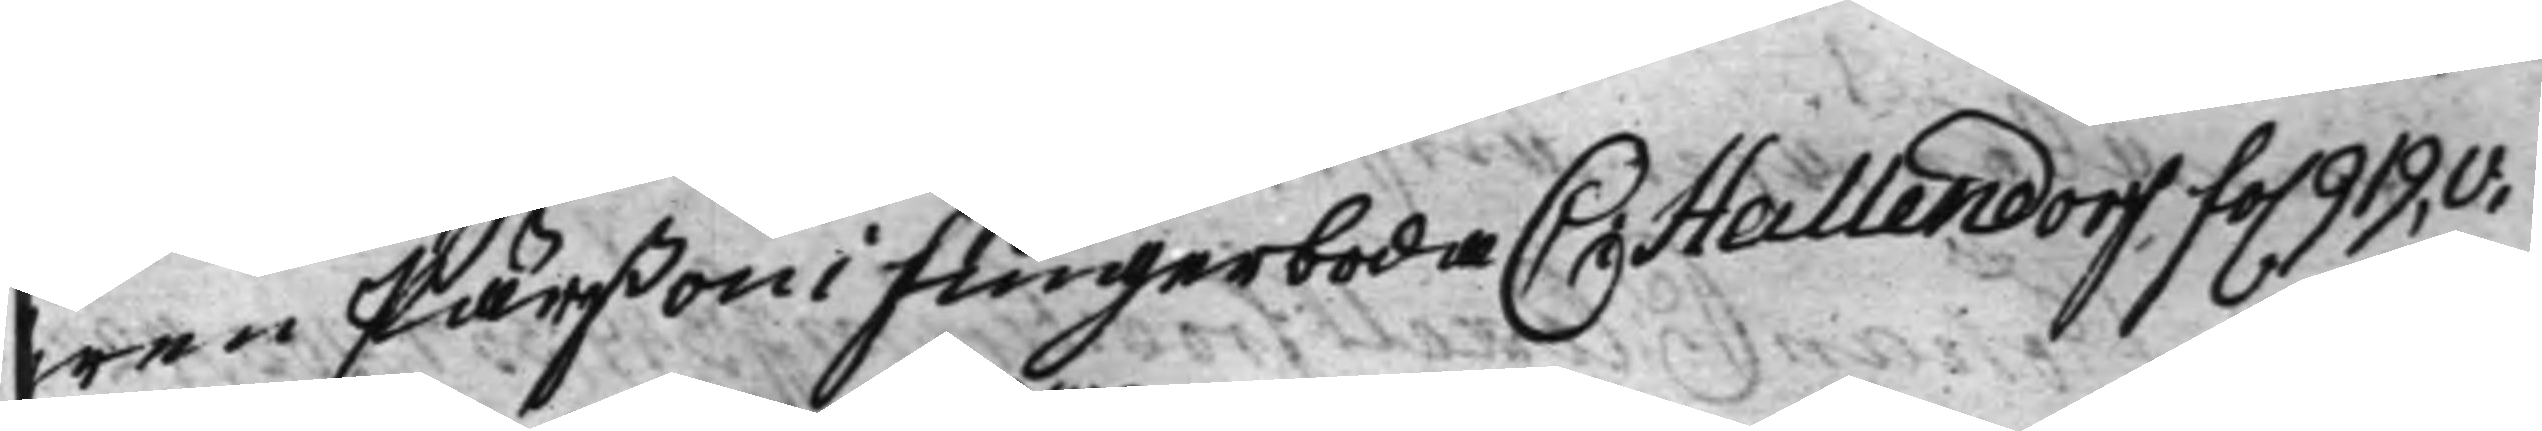Swen Pärßon i Fingerboda C: Hallendorf, fo. 919.v.
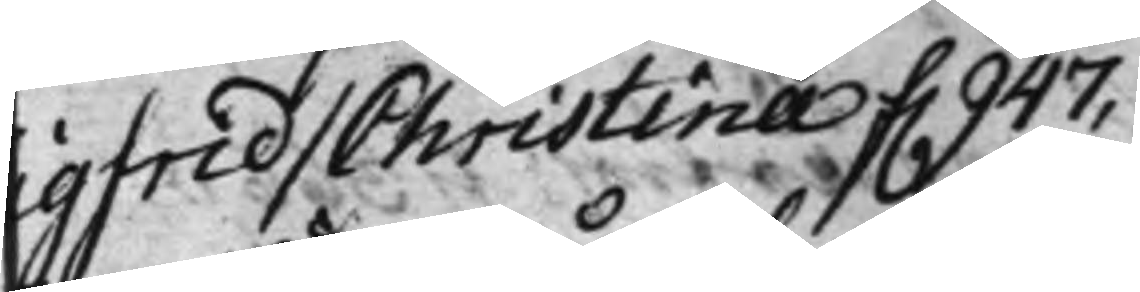Sigfrid / Christina f. 947.
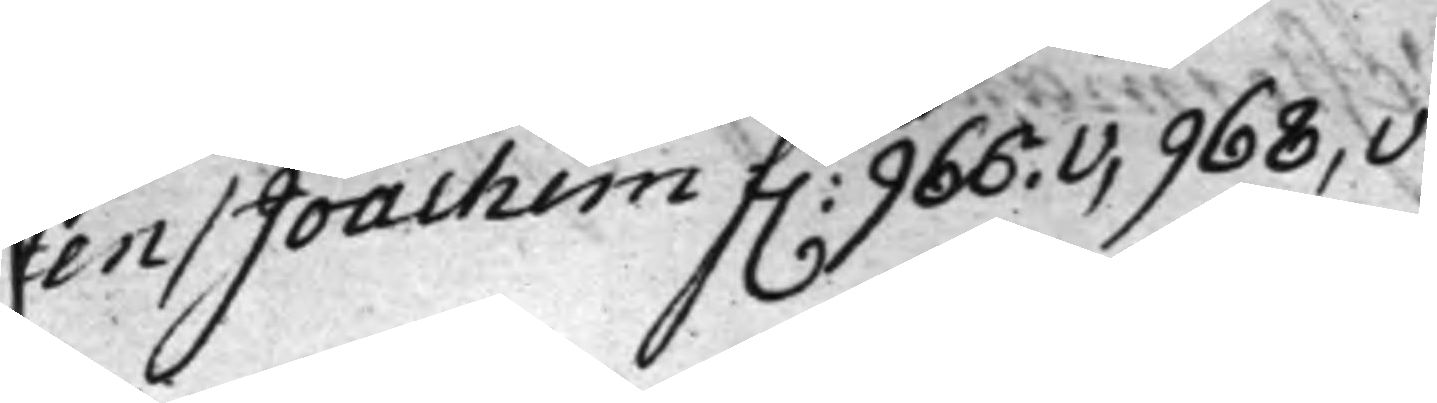Sten / Joachim f. 966.v, 968,v
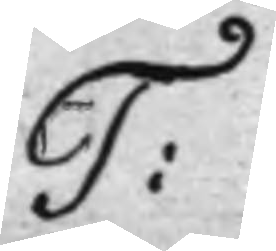T:
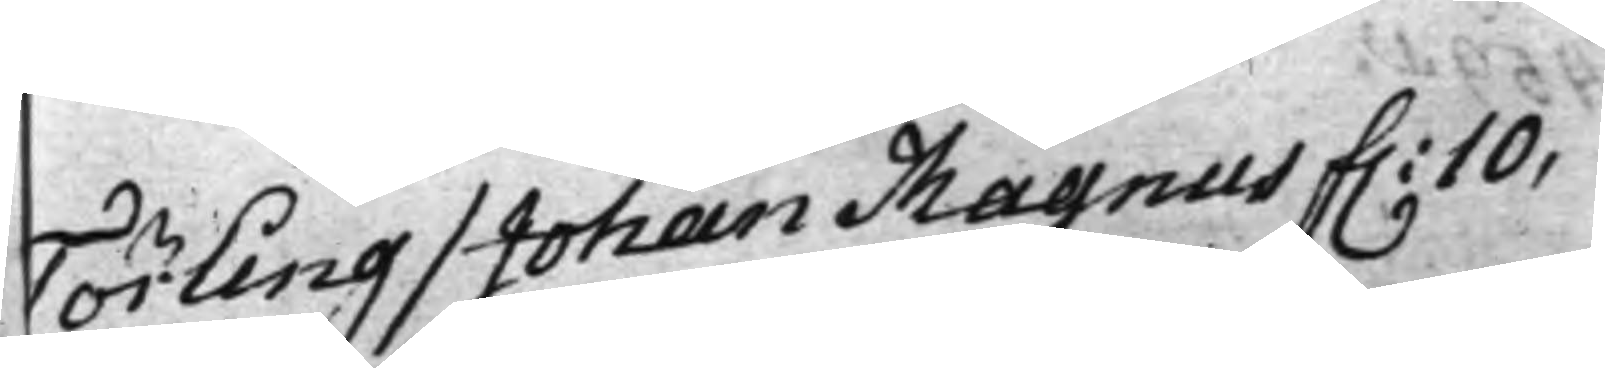Törling / Johan Magnus f. 10.
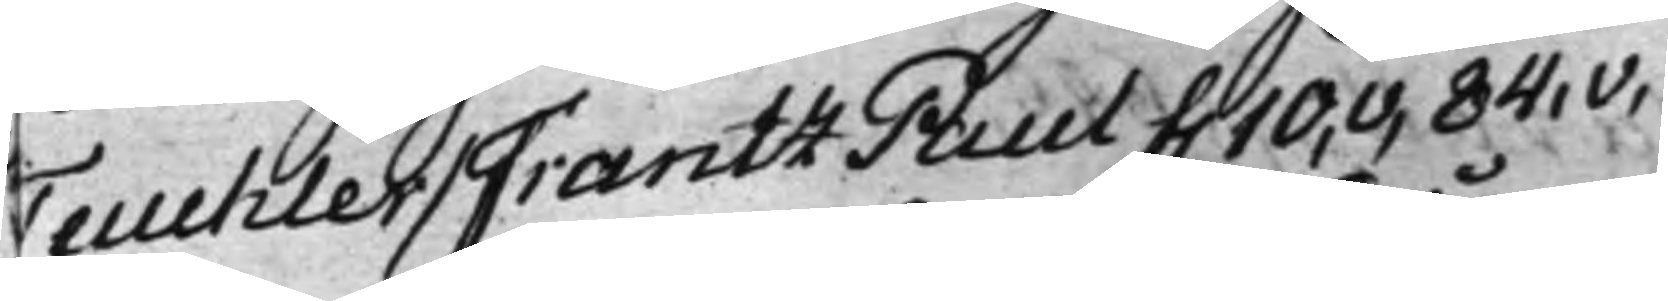Teuchler / Frantz Paul f. 10,v, 84.v,
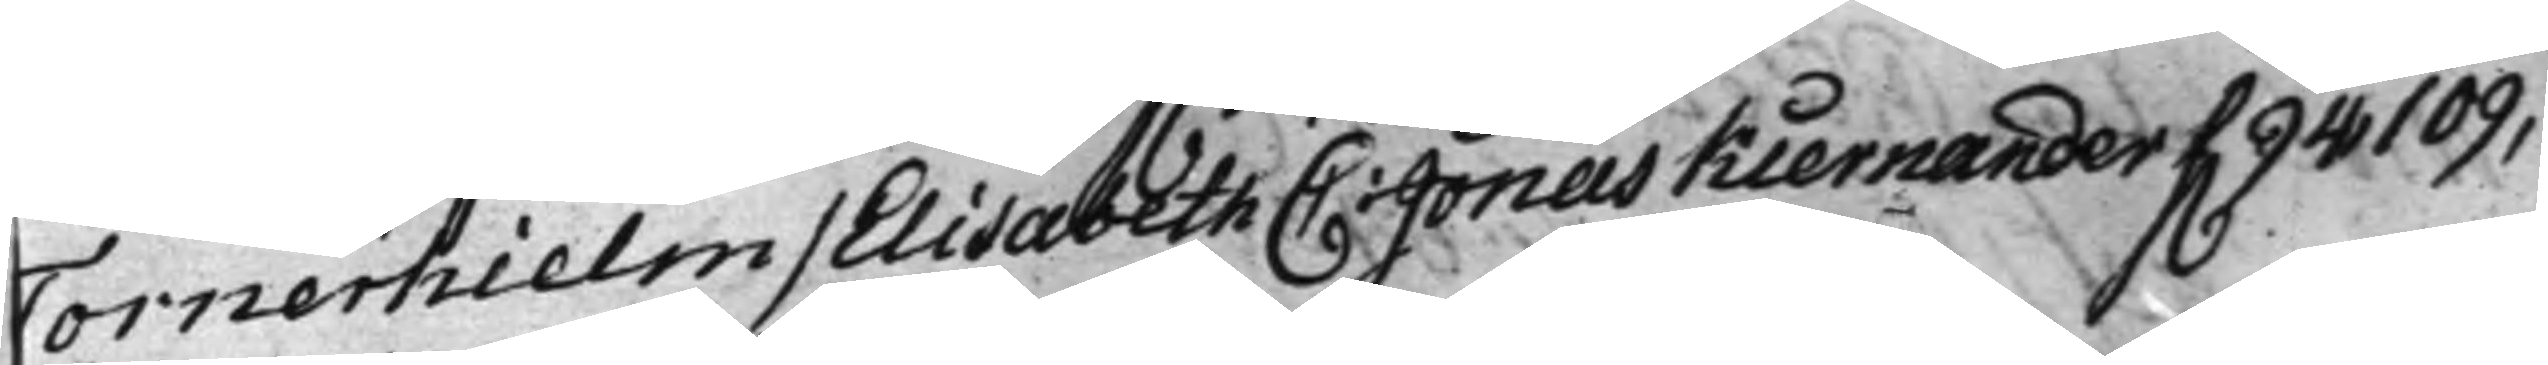Tornerhielm / Elisabeth C: Jonas Kiernander f. 94, 109,
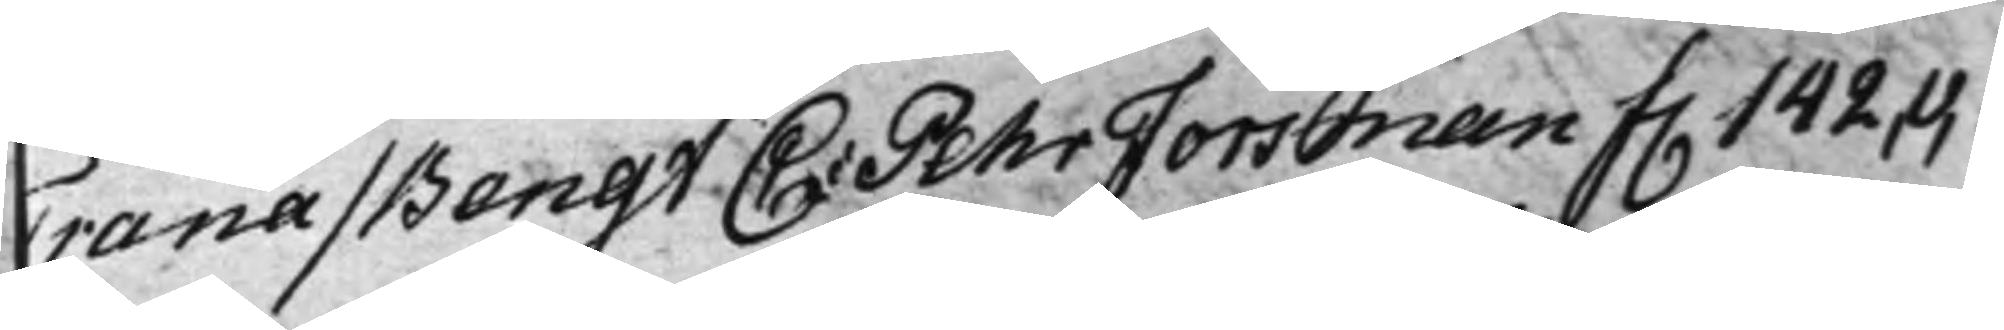Trana / Bengt C: Pehr Forsman f. 142,v,
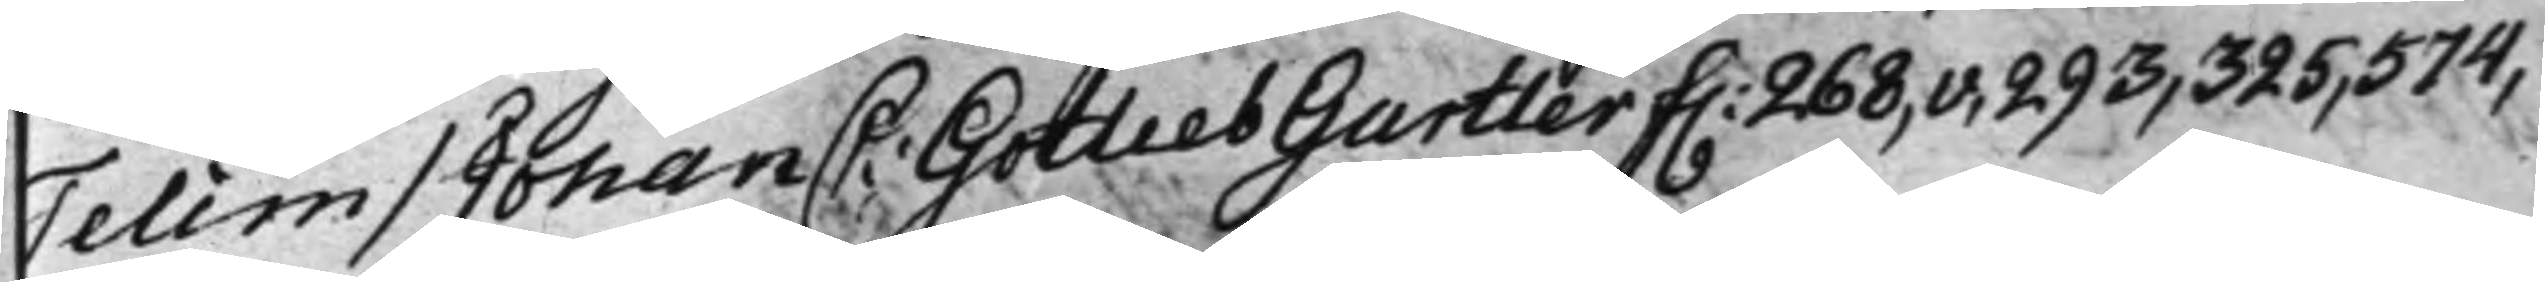Telim / Johan C: Gotlieb Gurtler f. 268,v, 293, 325, 574,
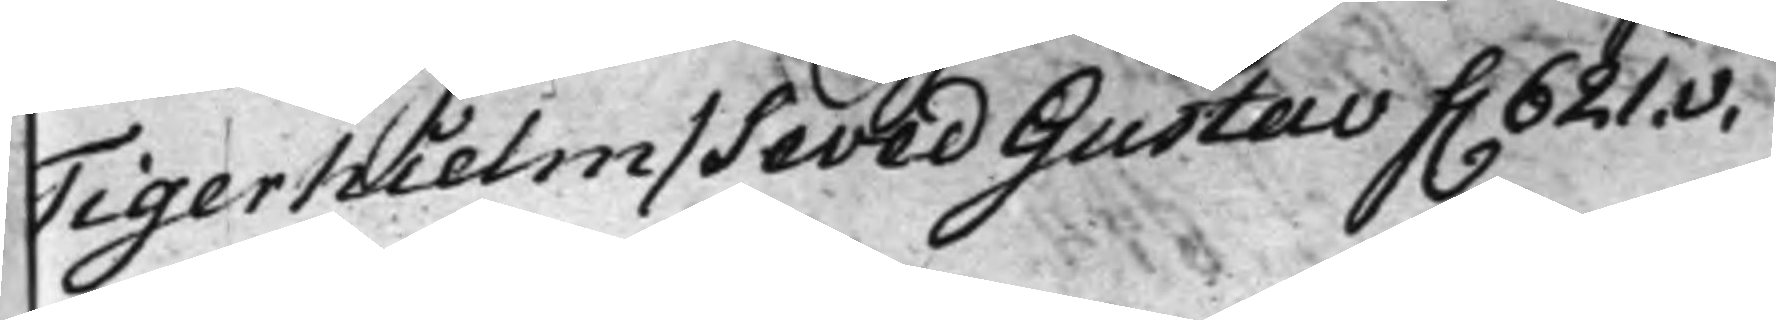Tigerhielm / Seved Gustav f. 621.v.
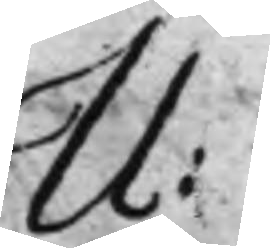U:
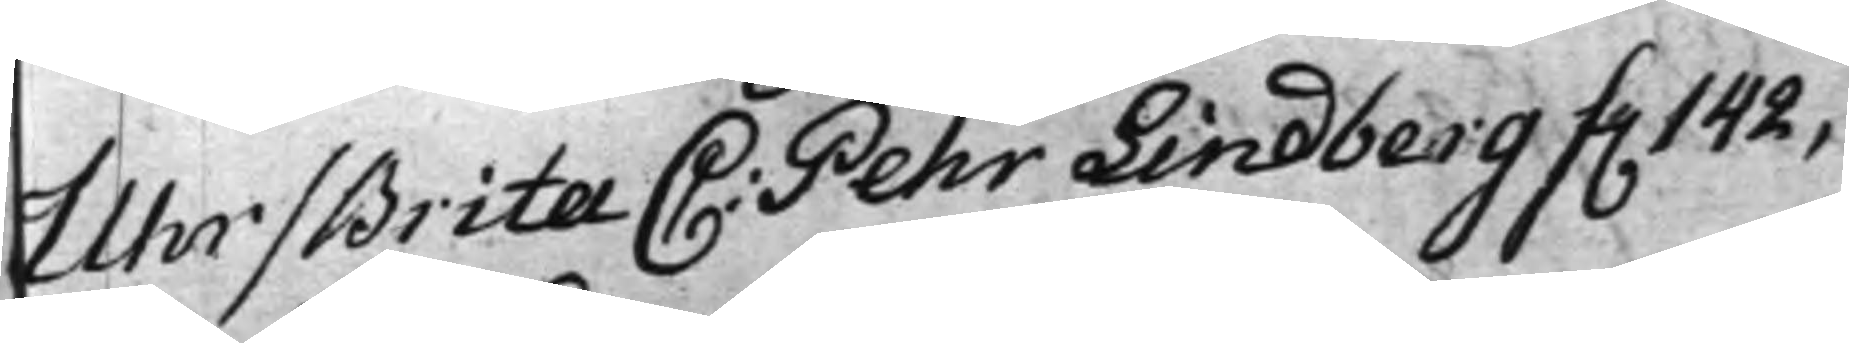Uhr / Brita C: Pehr Lindberg f. 142,
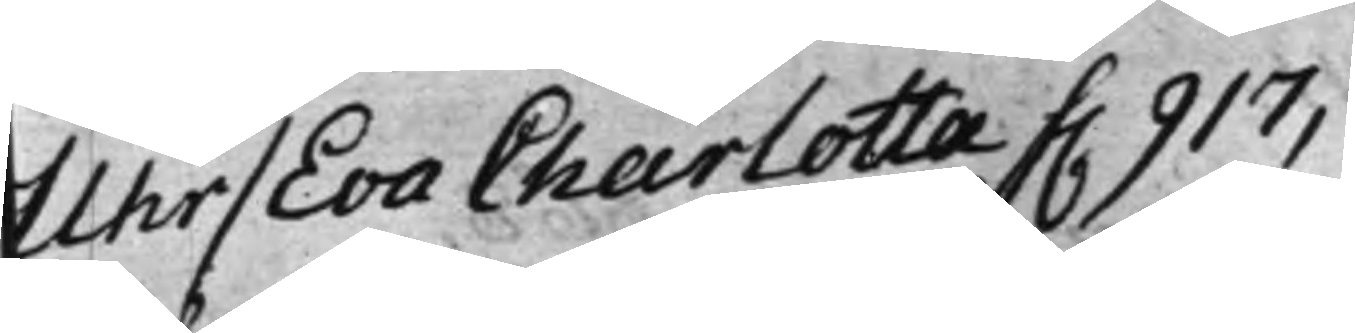Uhr / Eva Charlotta f. 917,
